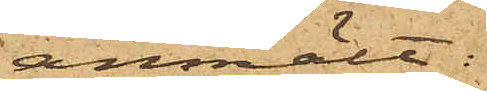anmält:
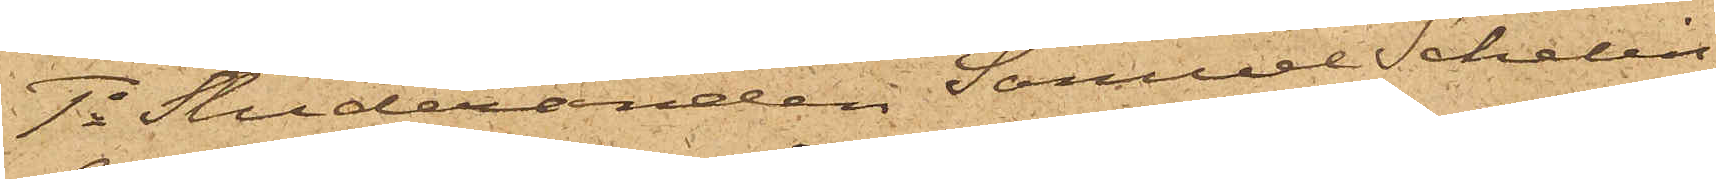1o Studeranden Samuel Schelin
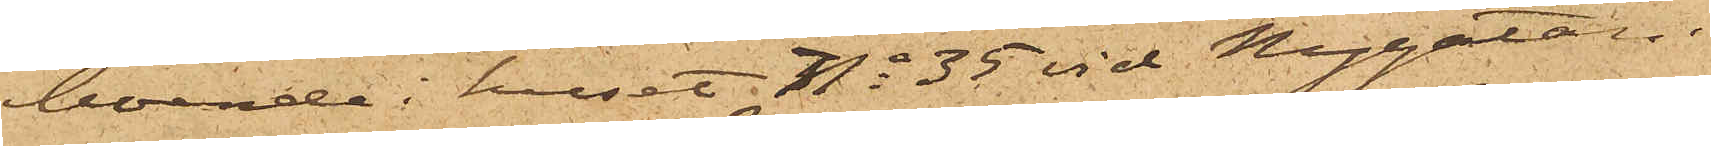boende i huset No 35 vid Nygatan.
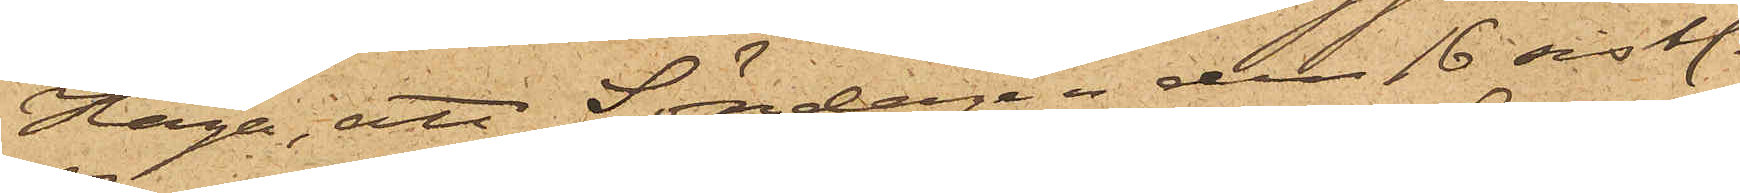Haga, att Söndagen den 16 sistl.
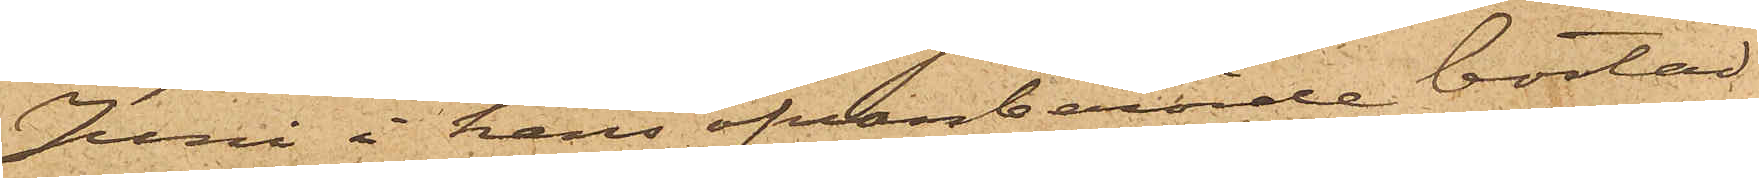Juni i hans ofvanberörde bostad
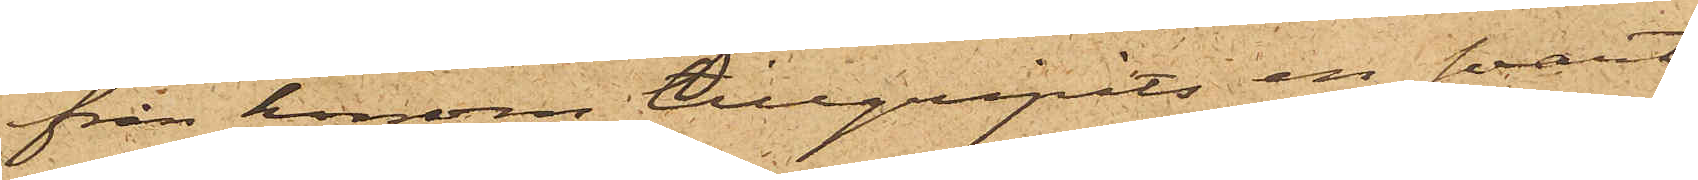från honom tillgripits en svart
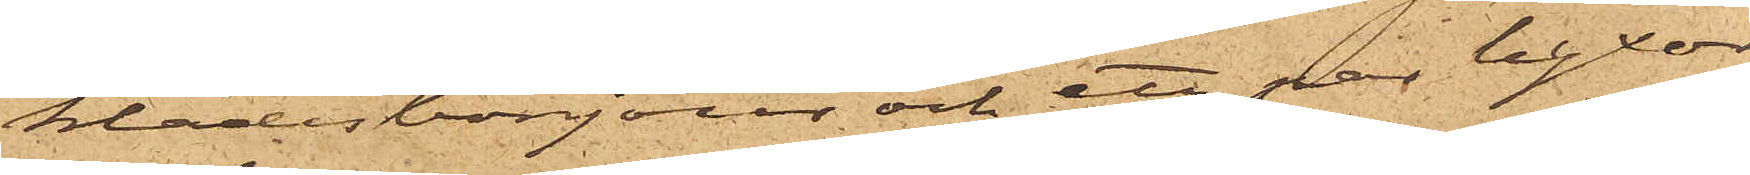klädesbonjour och ett par byxor
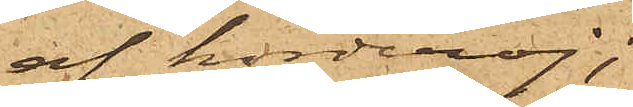af korderoj;
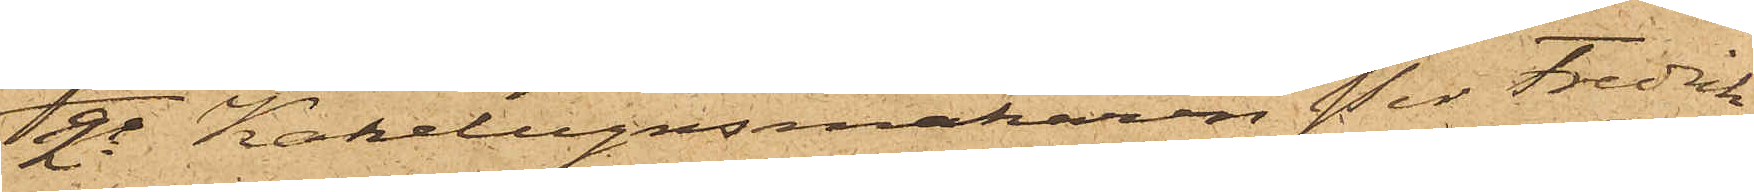2o Kakelugnsmakaren Per Fredrik
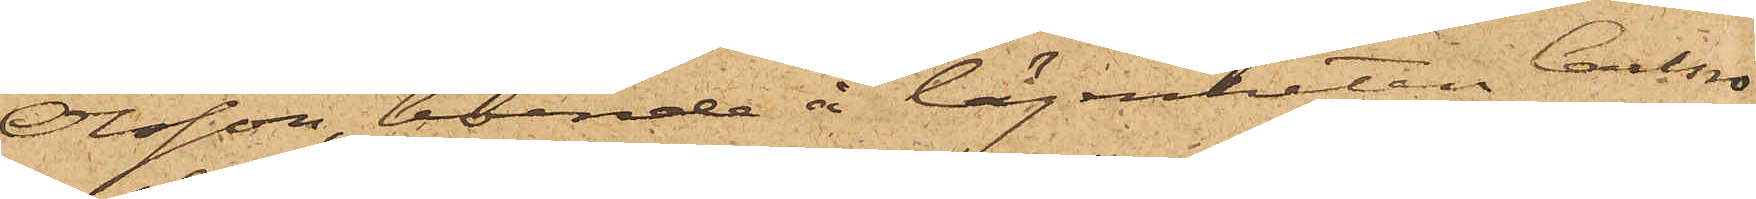Olsson, boende å lägenheten Carlsro
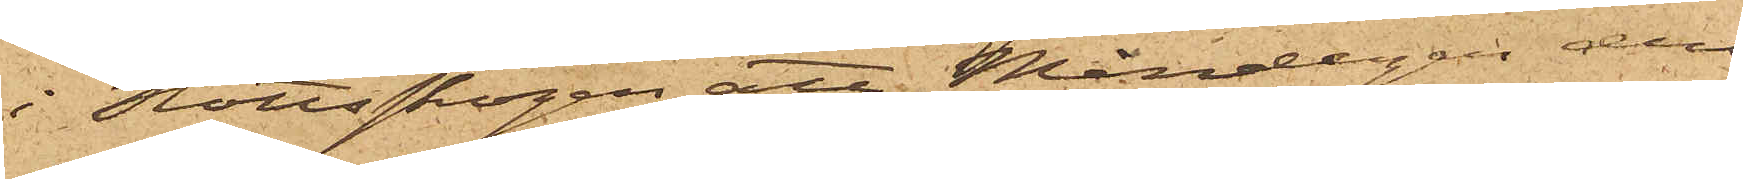i Slottsskogen att Måndagen den
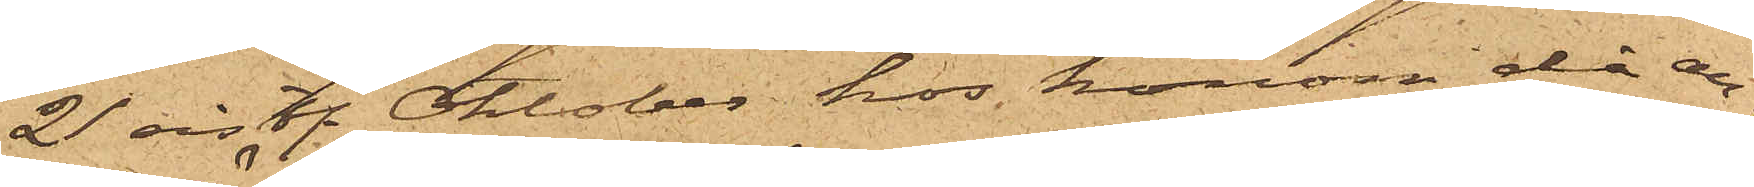21 sistl. Oktober hos honom då an¬
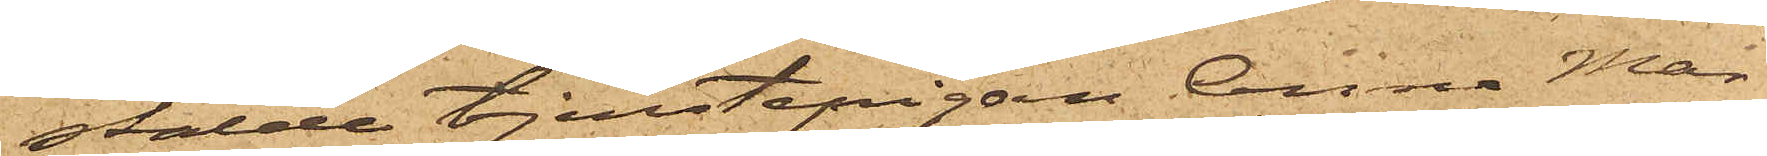stälde tjenstepigan Anna Mar¬
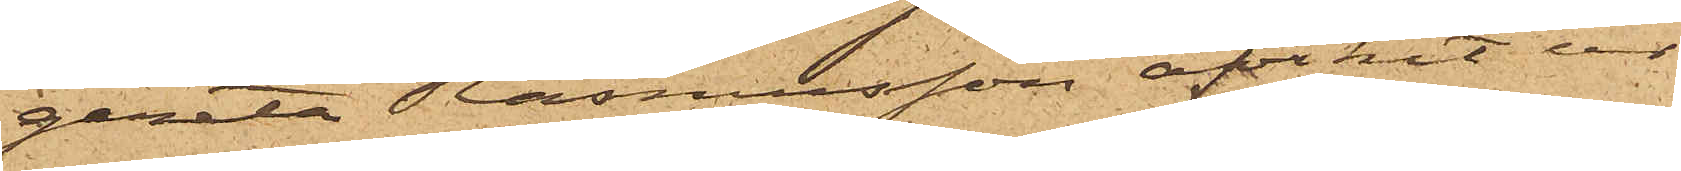gareta Rasmusson afvikit ur
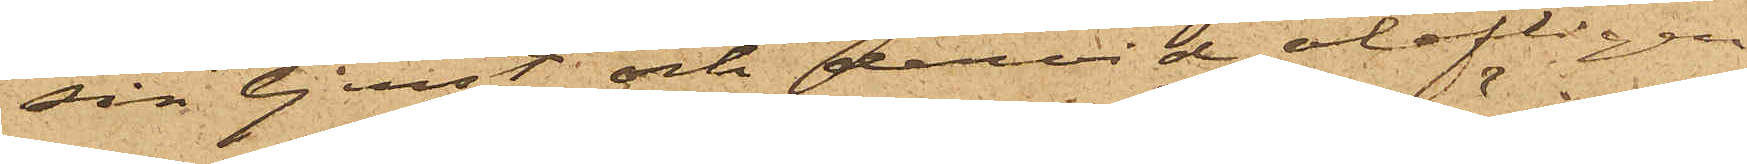sin tjenst och dervid olofligen
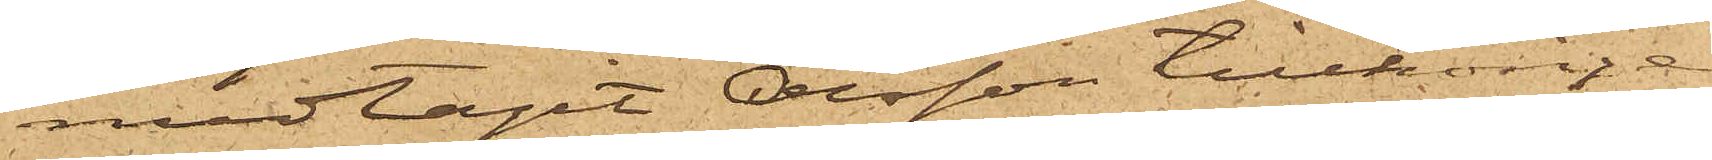medtagit Olsson tillhörige
